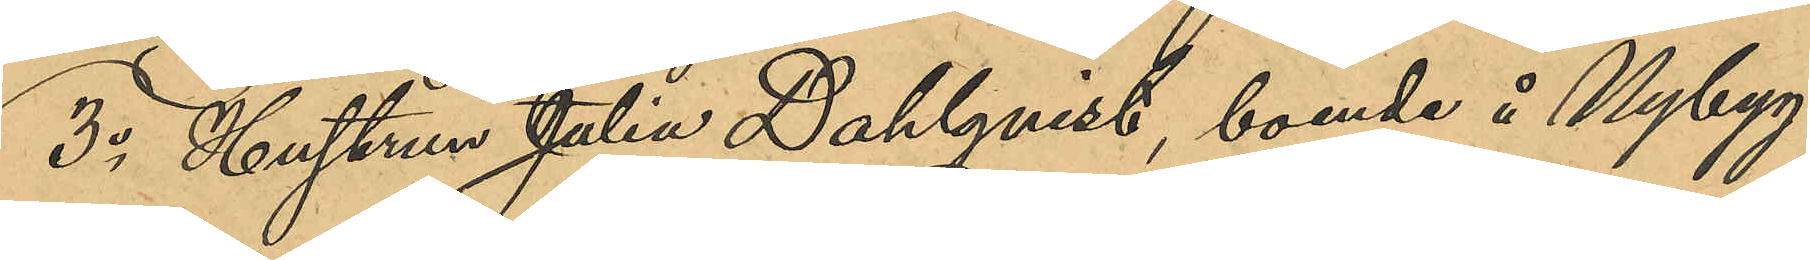3o Hustrun Julia Dahlquist, boende å Nybyg¬
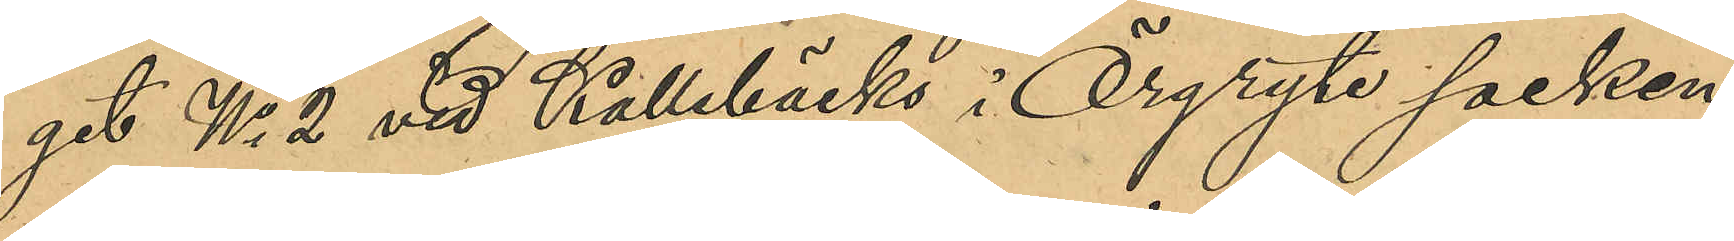get No 2 vid Kallebäck i Örgryte socken;
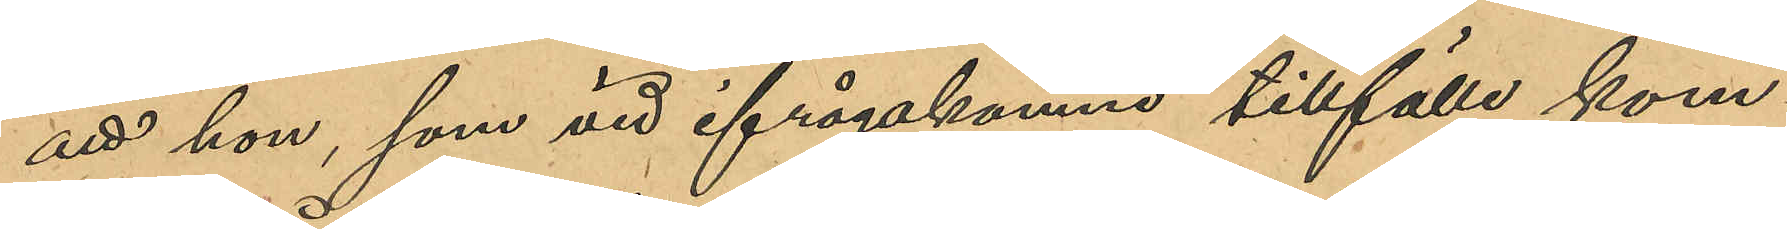att hon, som vid ifrågakomne tillfälle kom¬
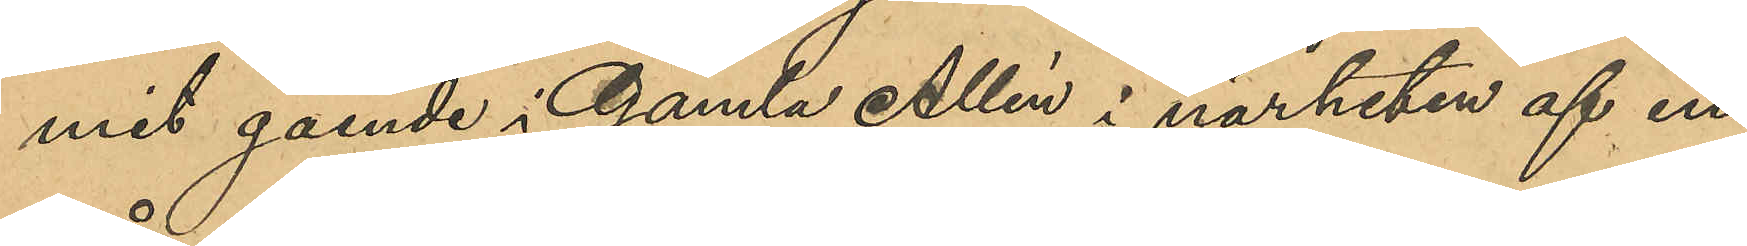mit gående i Gamla Allén i närheten af in¬
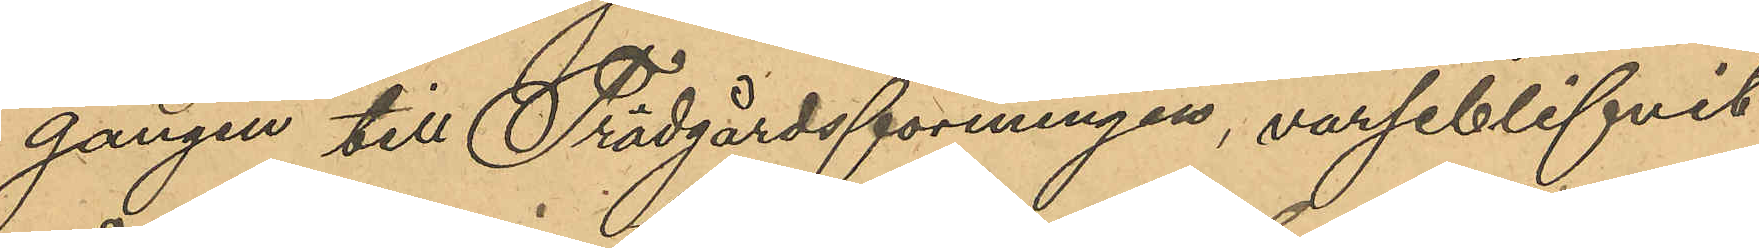gången till Trädgårdsföreningen, varseblifvit
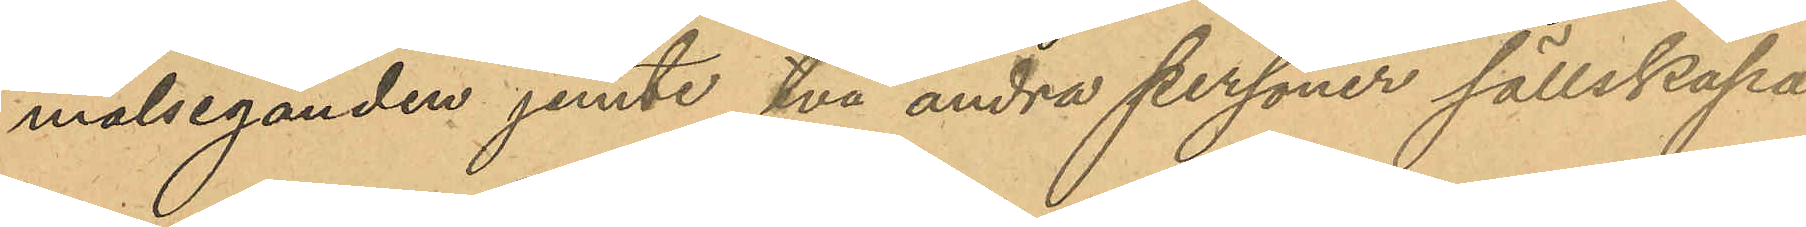målseganden jemte två andra personer sällskapa
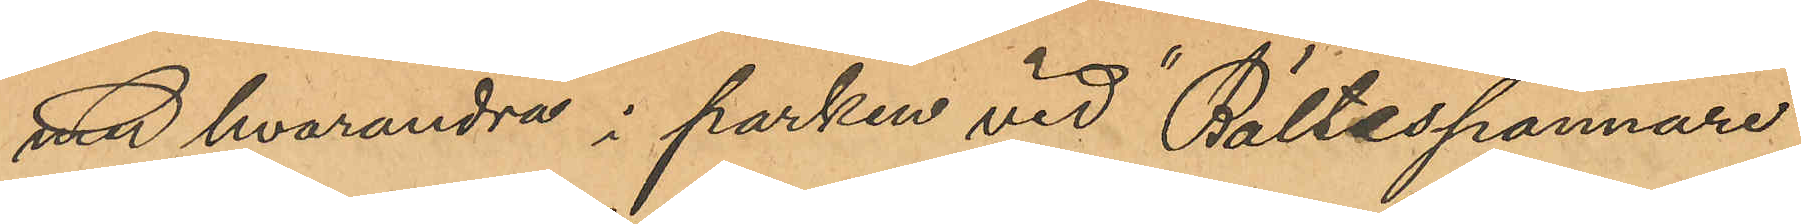med hvarandra i parken vid "Bältesspännare";
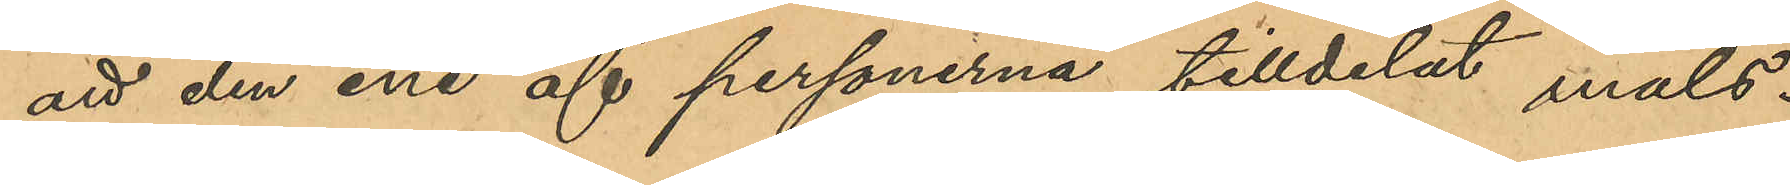att den ene af personerna tilldelat mals¬
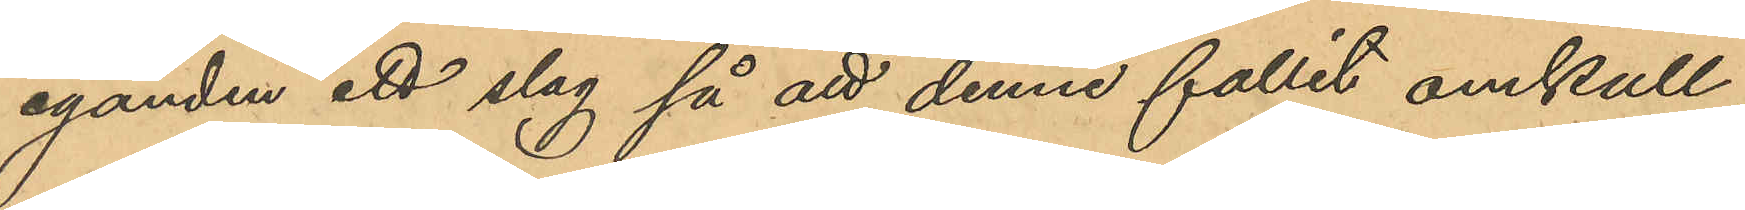aganden ett slag så att denne fallit omkull;
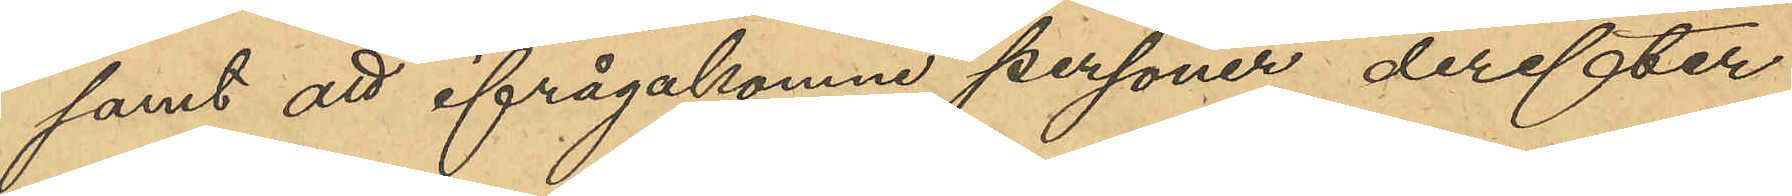samt att ifrågakomne personer derefter
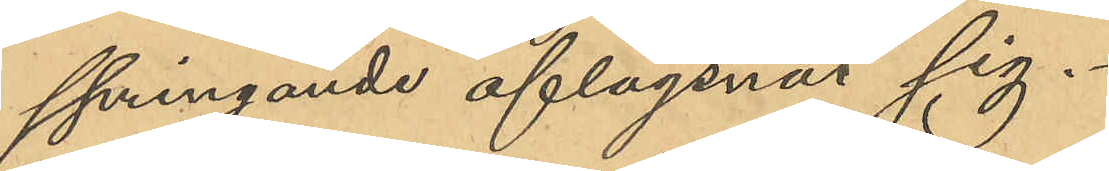springande aflägsnat sig.
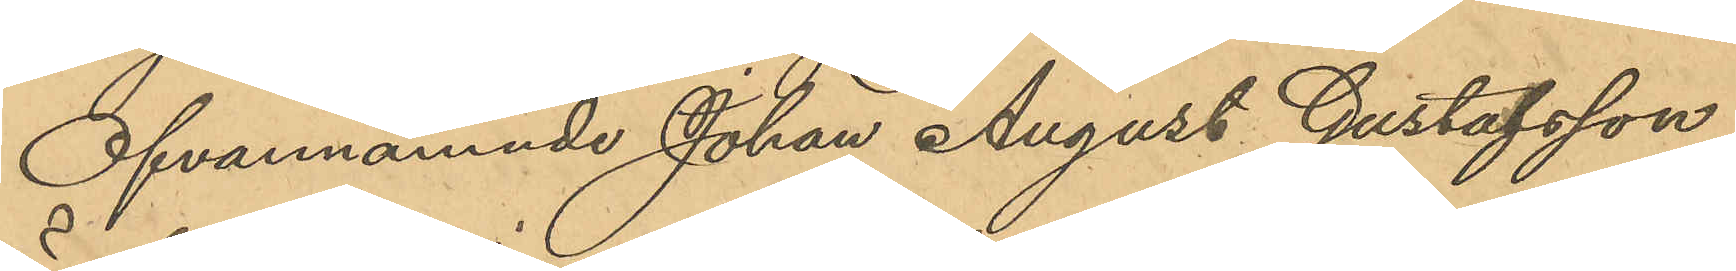Ofvannämnde Johan August Gustafsson
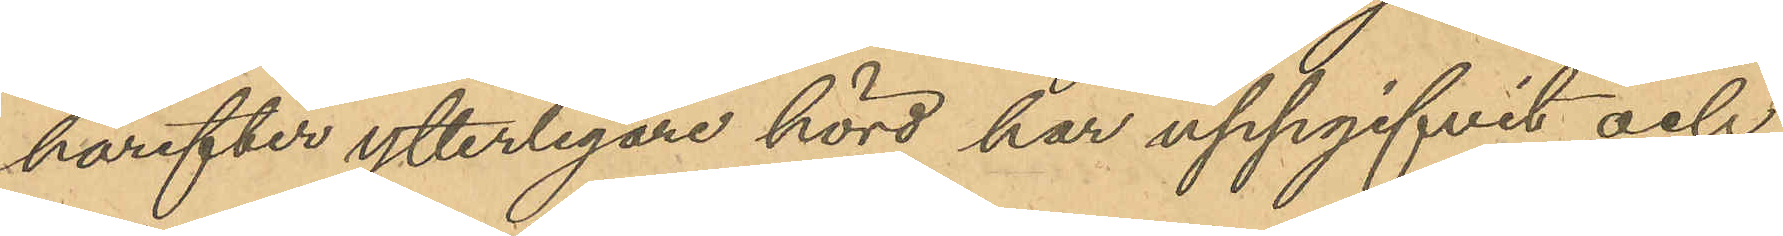härefter ytterligare hörd har uppgifvit och
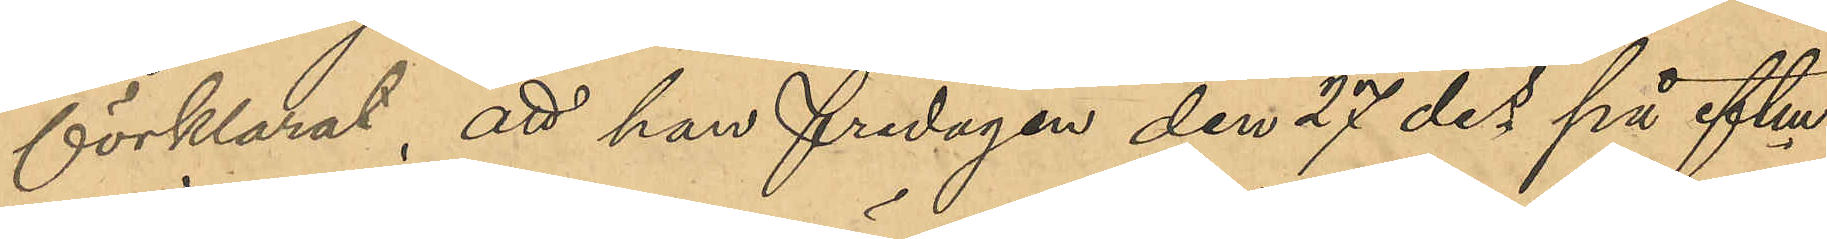förklarat; att han fredagen den 27 des på eftm
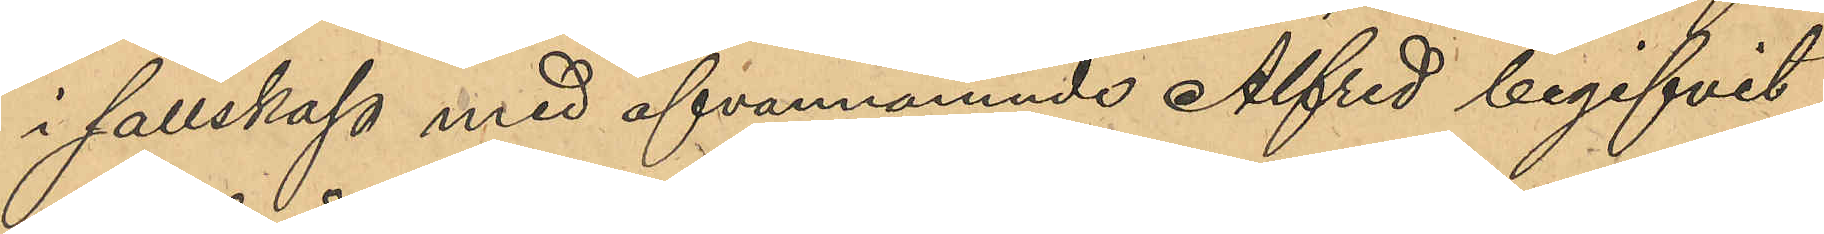i sällskap med ofvannämnde Alfred begifvit
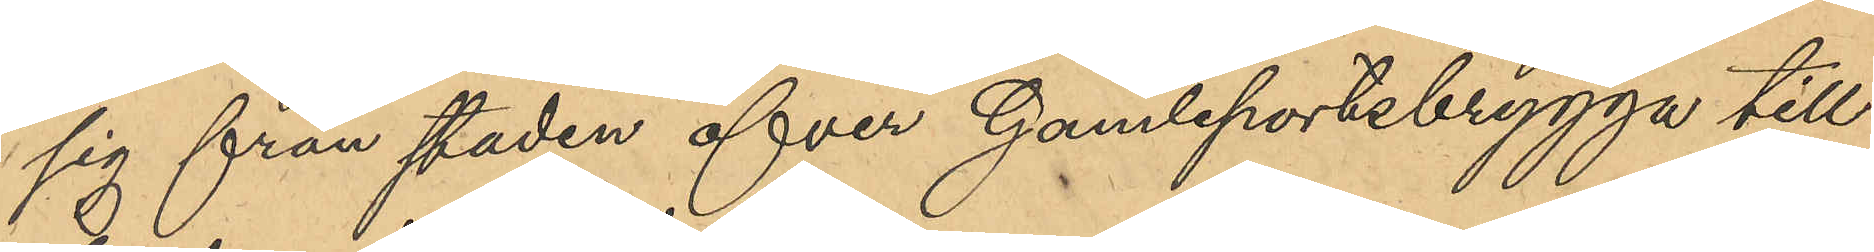sig från staden öfver Gamleportsbrygga till
